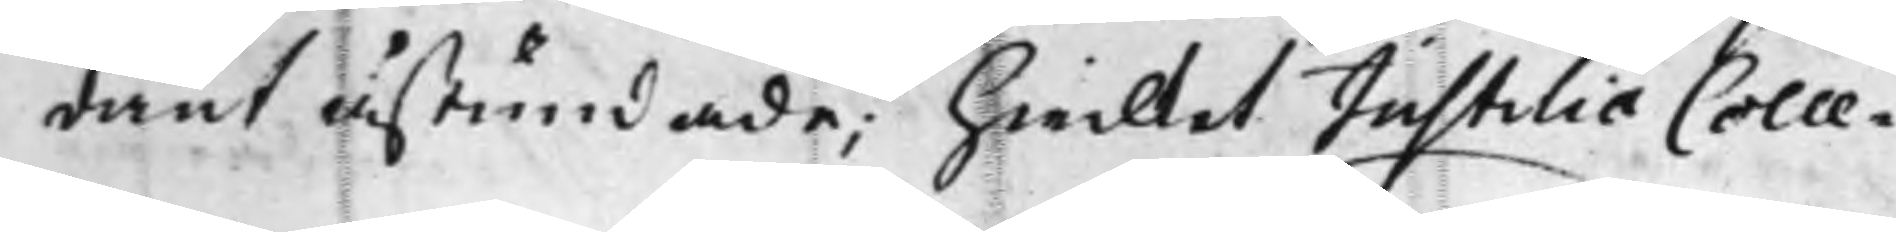dant åstundade; Hwilket JustitiæColle¬
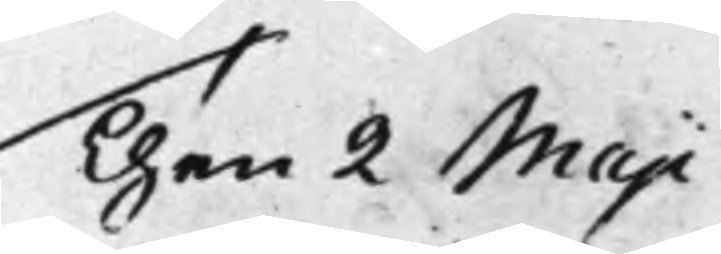Then 2 Maji
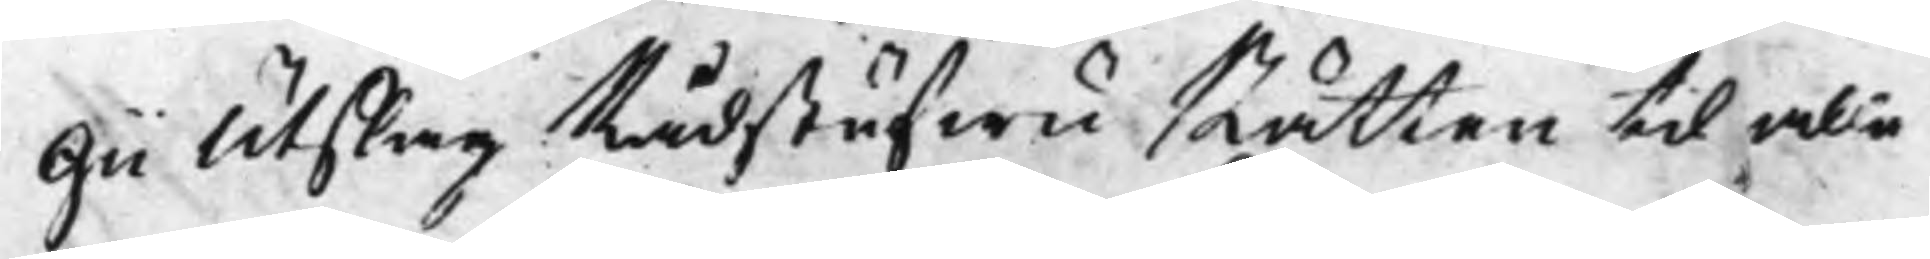gii Utslag Rådstufwu Rätten til alla
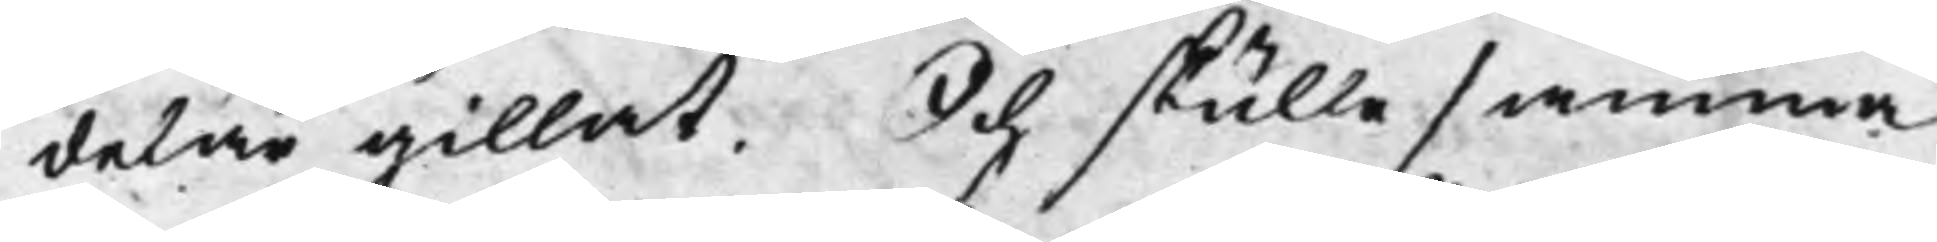delar gillat. Och skulle samma
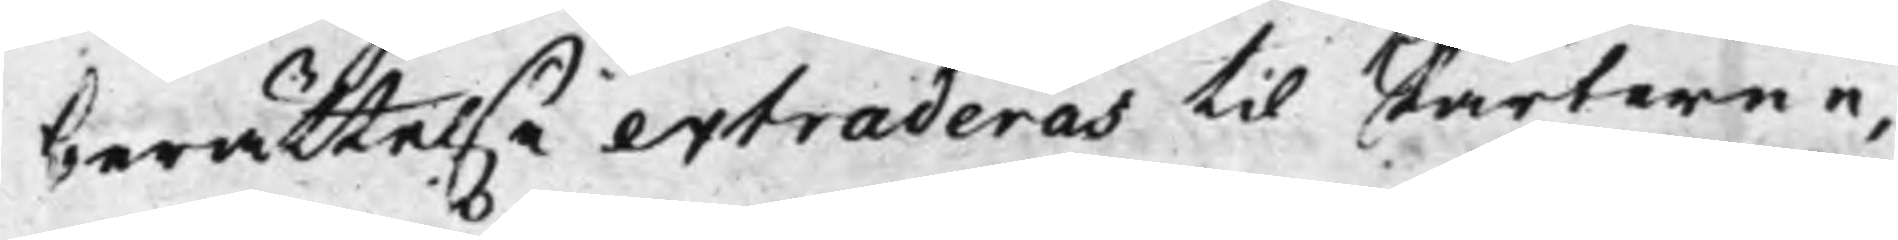berättelse extraderas til Parterne,
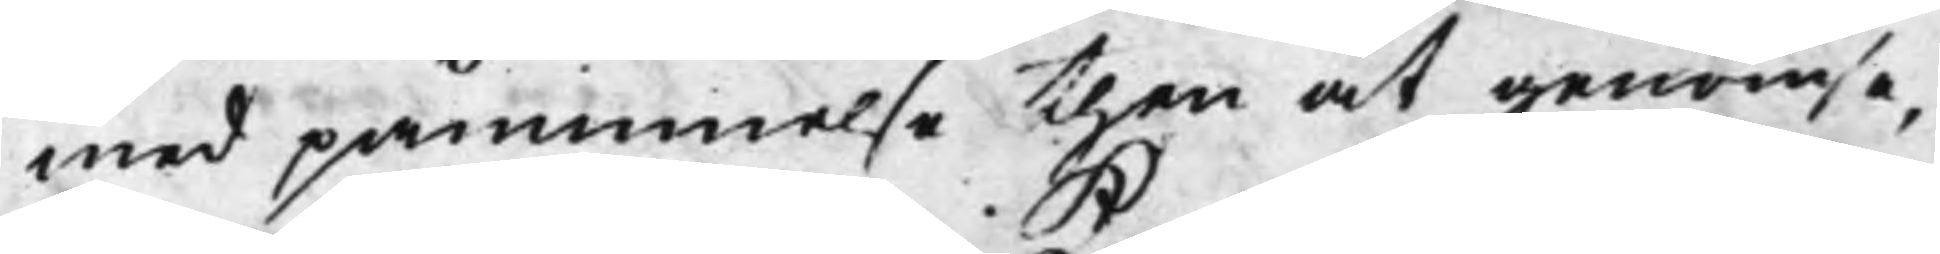med påminnelse then at genomse,
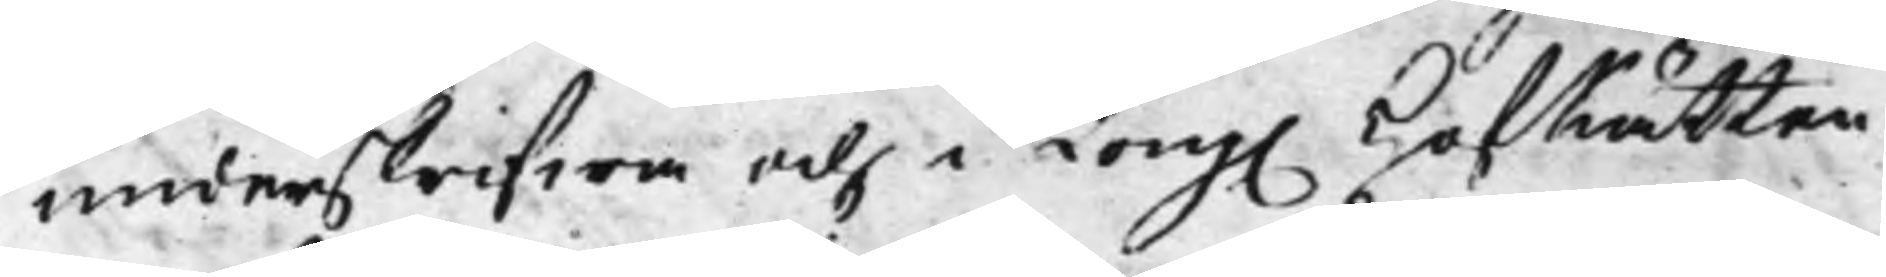underskrifwa och i Kong. HofRätten 
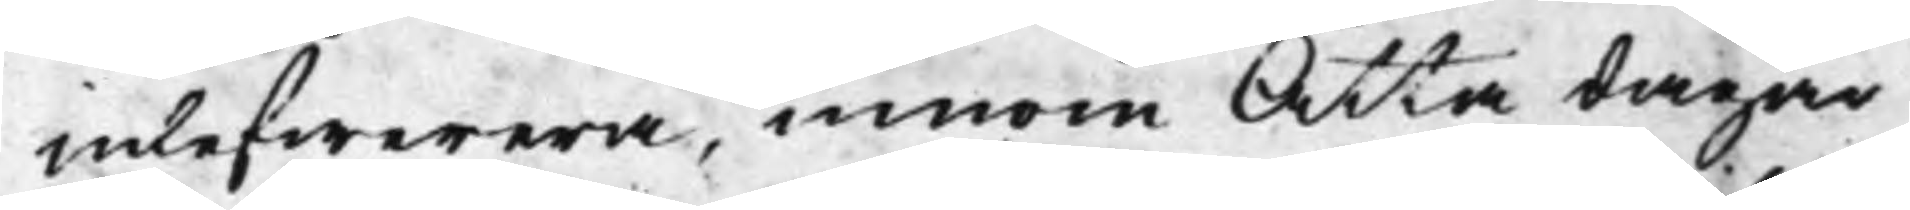inlefwerera, innom Åtta dagar
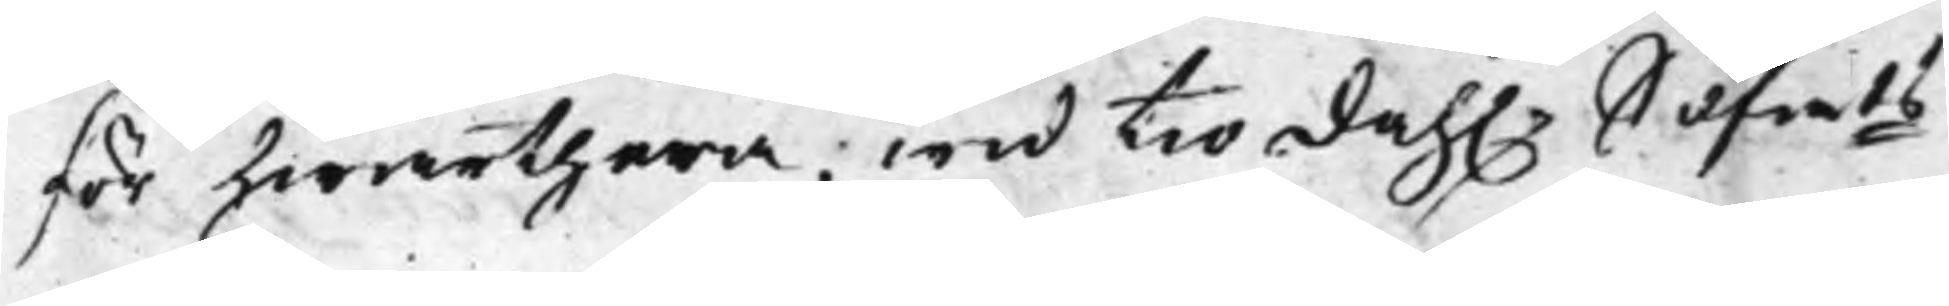för hwarthera; wid Tio dah.r Silfmts 
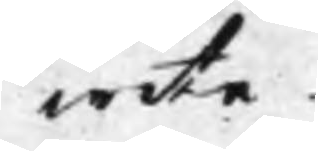wite.
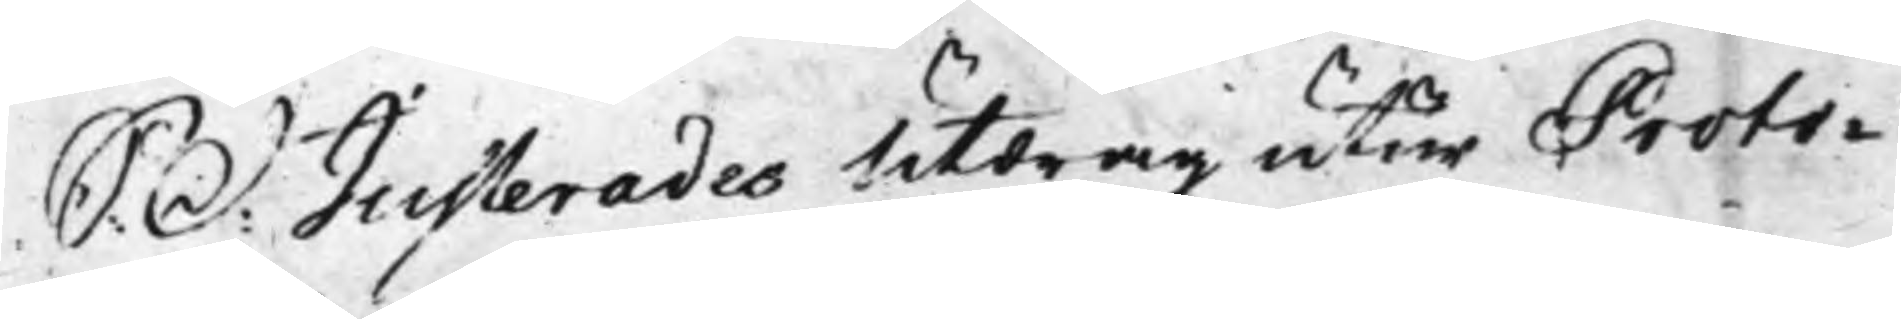S: d: Justerades Utdrag utur Proto¬ 
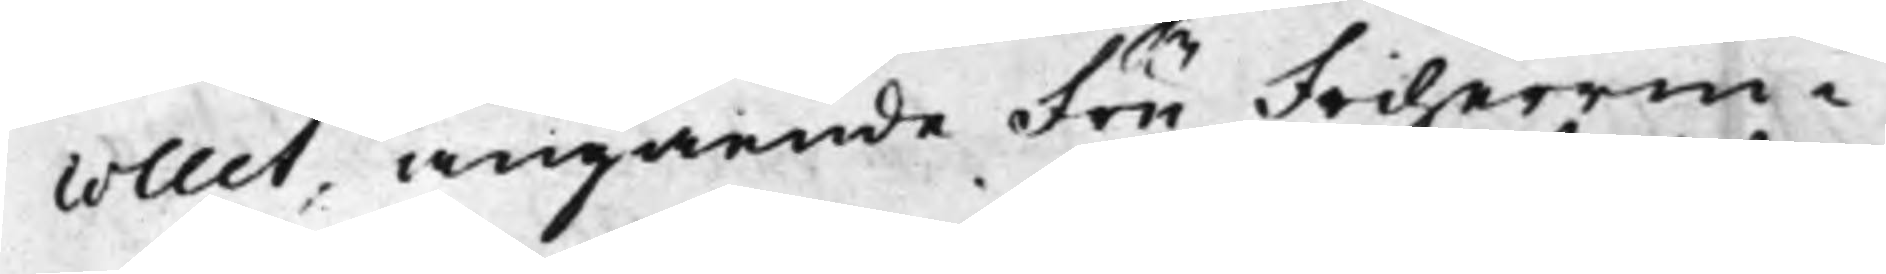collet, angående Fru Friherrin¬
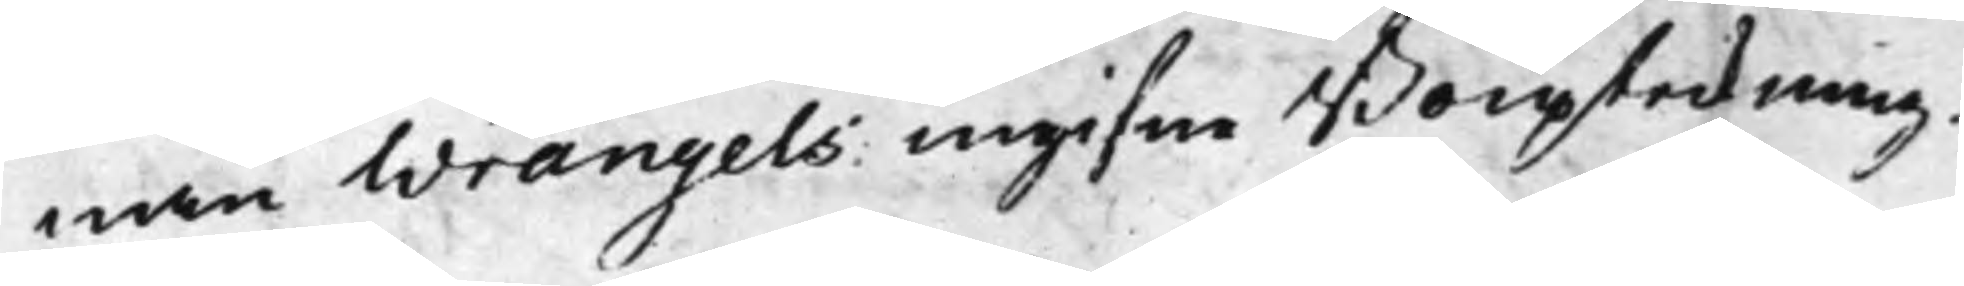nan Wrangels ingifne Boupteckning.
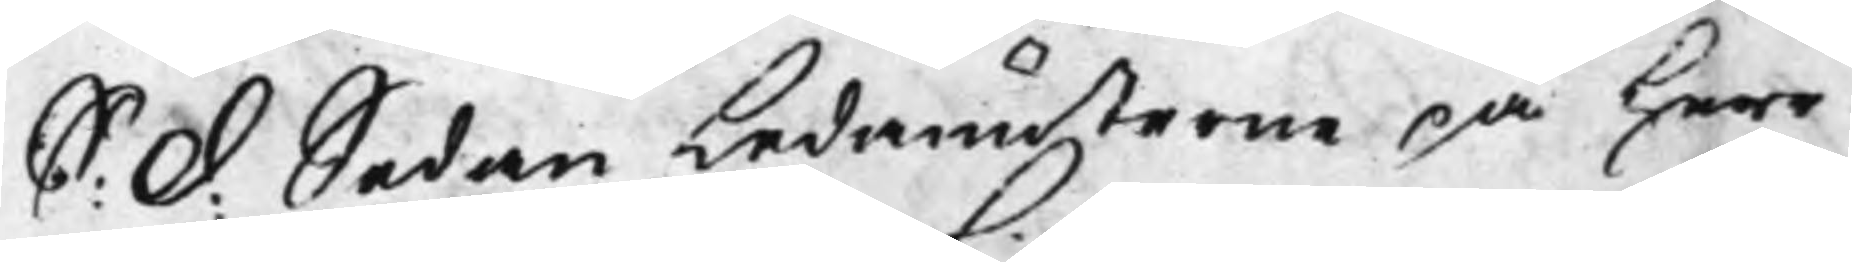S: d: Sedan Ledamöterne på Herr 
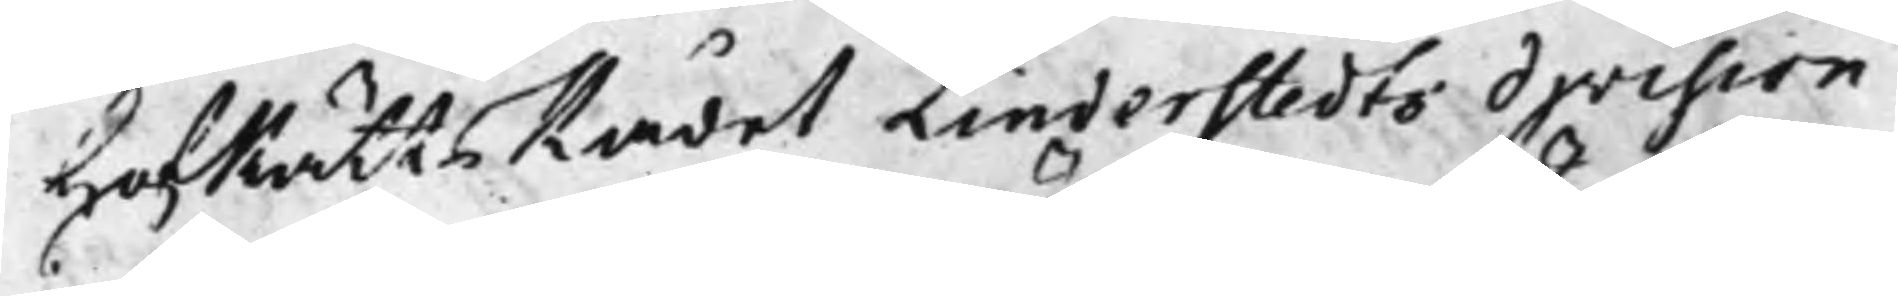HofRättsRådet Linderstedts division
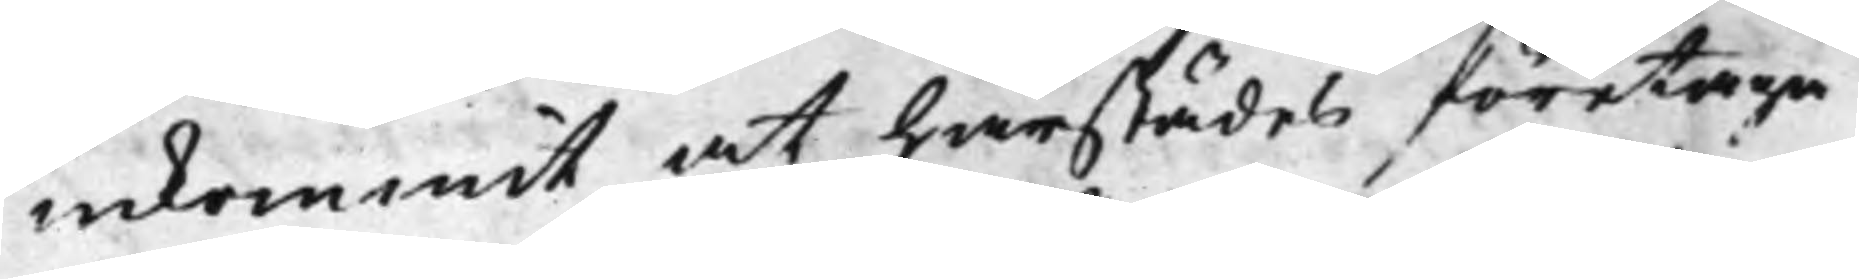inkommit, at härstädes företaga
